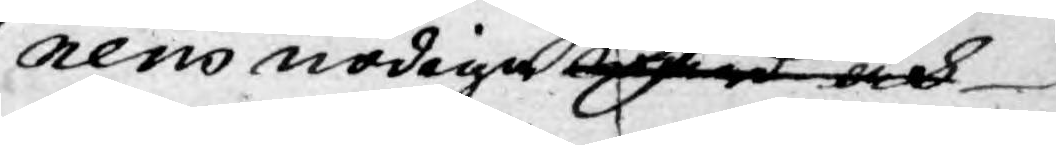nens nödiga rd och
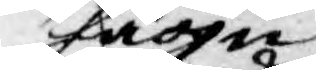hägn
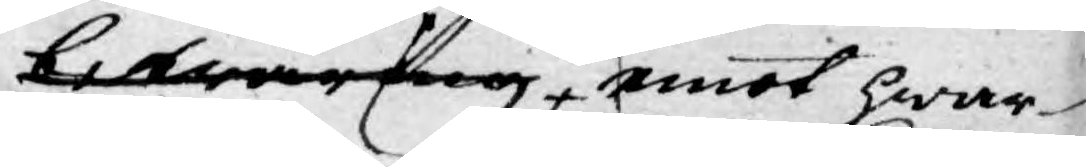bewaring, emot hwar¬
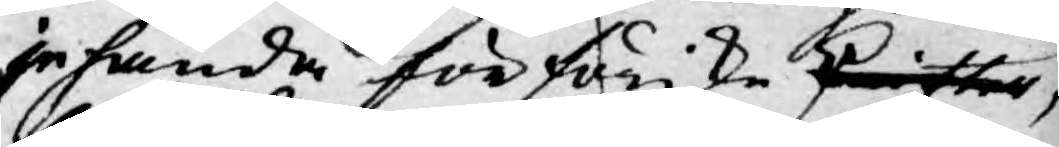jehanda förföriske skrifter,
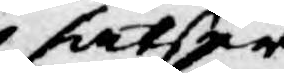fatser
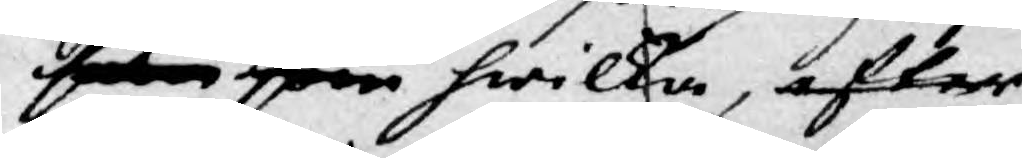som som hwilka, efter
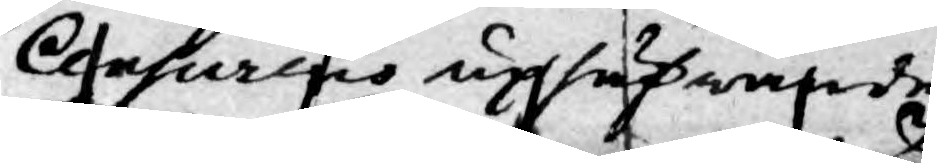Censurens uphäfwande
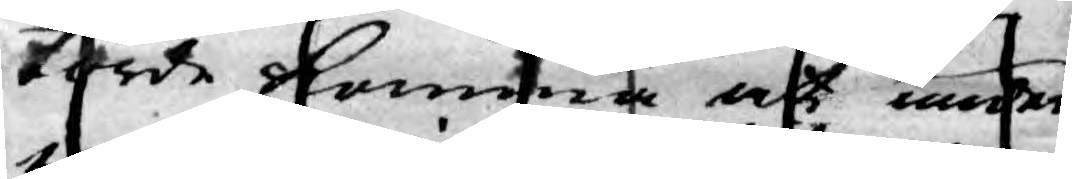torde komma att under
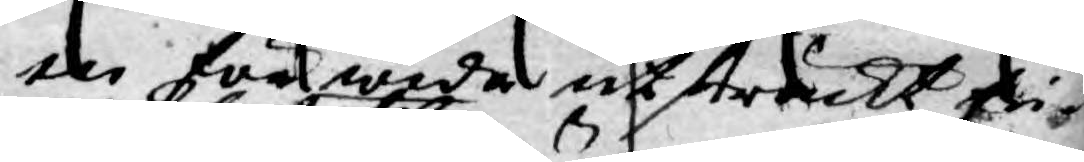en för wida utsträckt fri¬
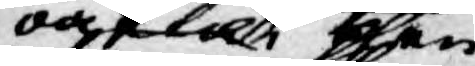oaktat then
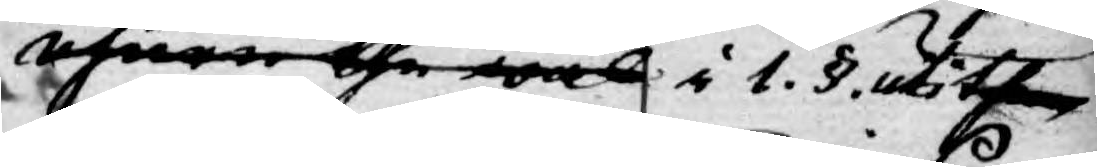öfwer the wäl i 1. § uti then
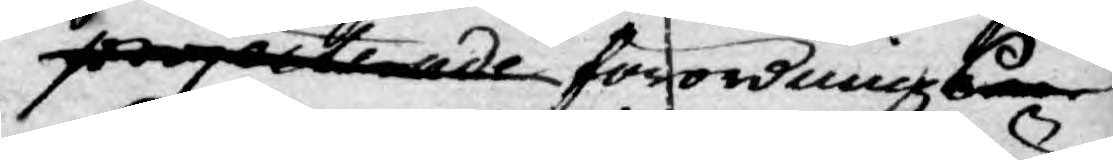projecterade förordnings
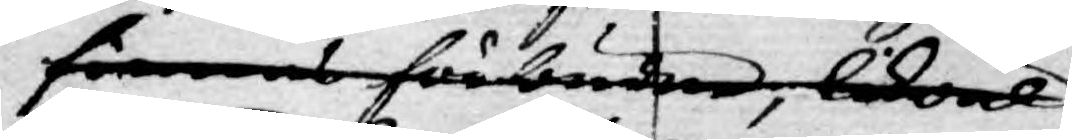förmens förberden, likwäl
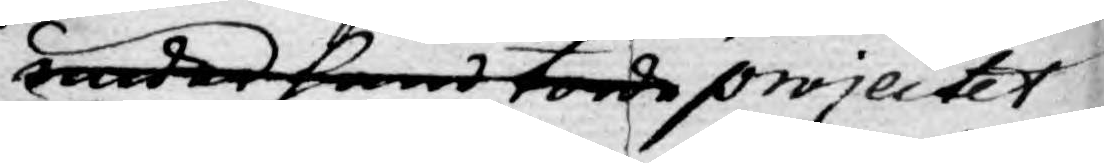under hand torde projectet.
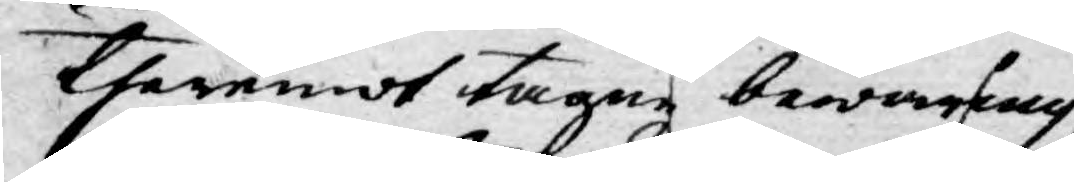theremot tagne bewaring
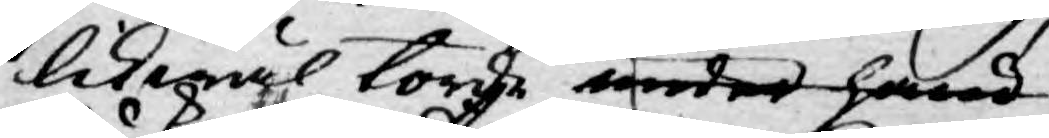likwäl torde under hand
